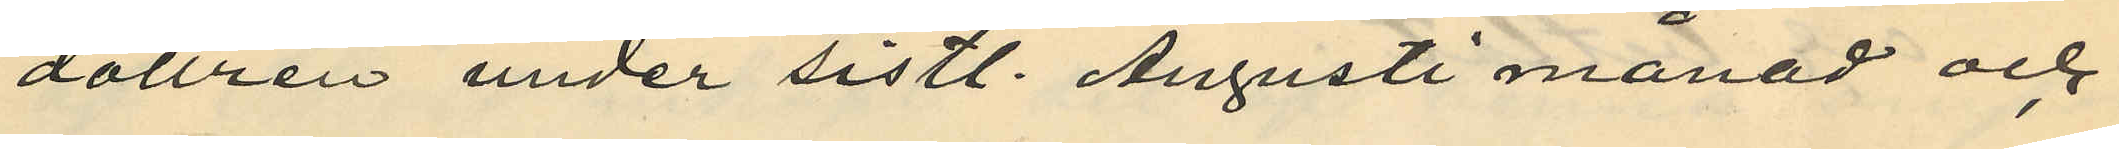dottren under sistl. Augusti månad och
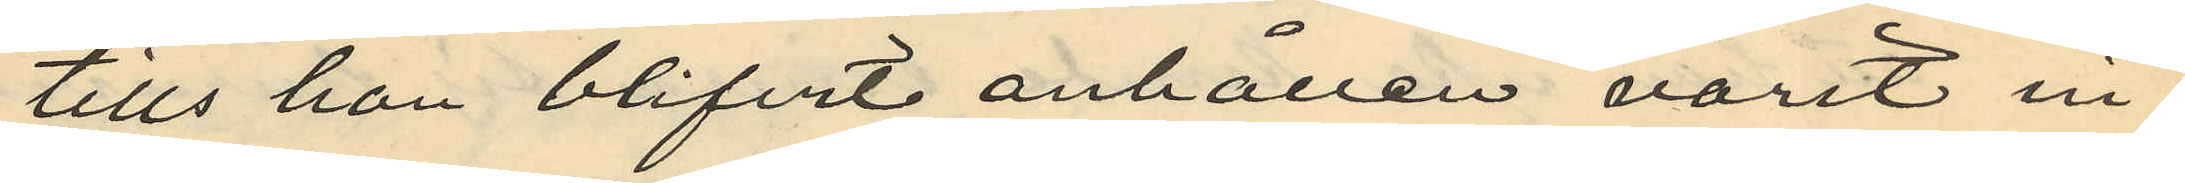tills hon blifvit anhållen varit in¬
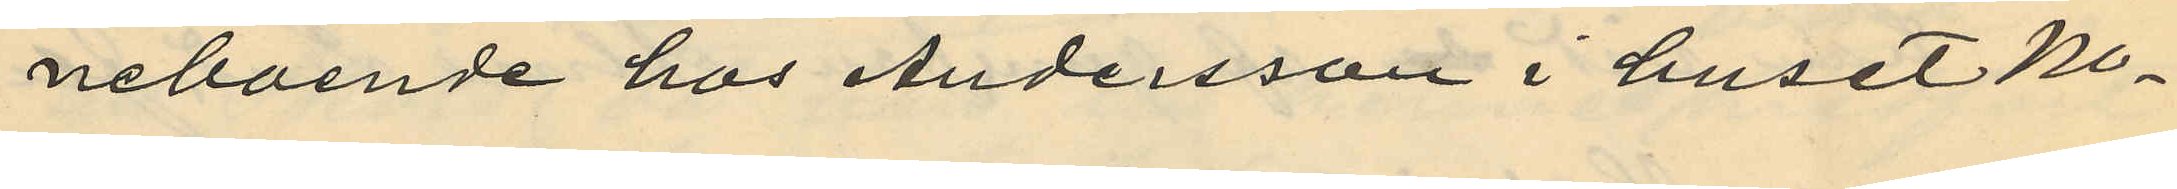neboende hos Andersson i huset No
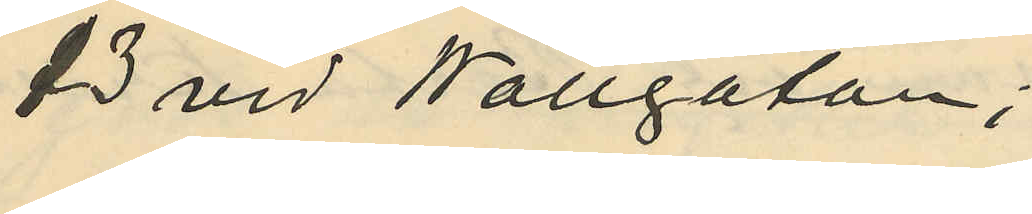3 vid Wallgatan;
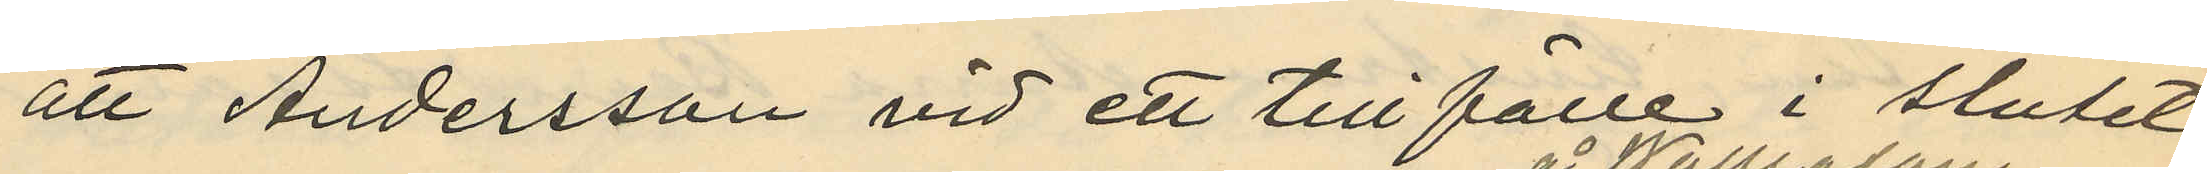att Andersson vid ett tillfälle i slutet
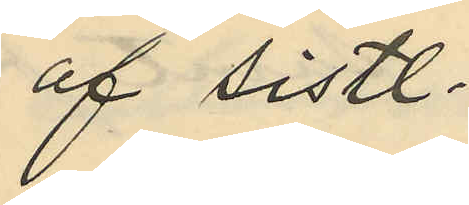af sistl.
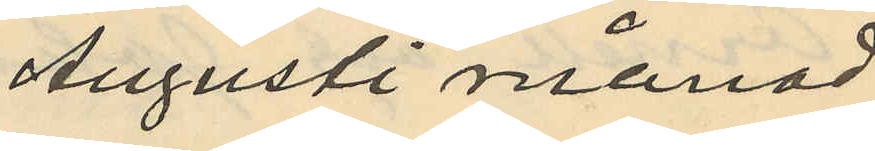Augusti månad
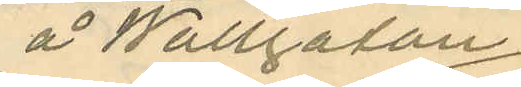å Wallgatan
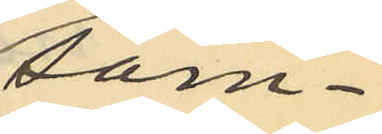sam¬
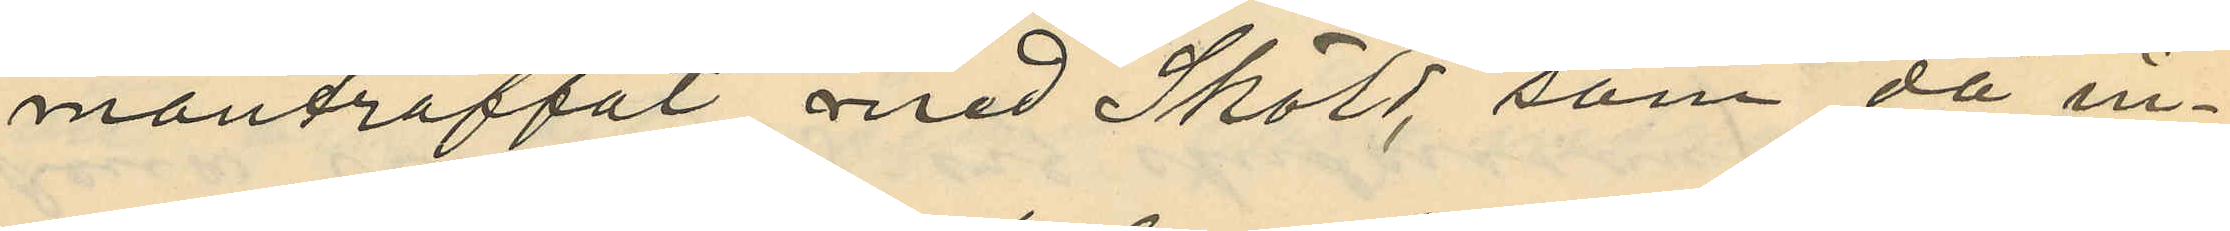manträffat med Sköld, som då in¬
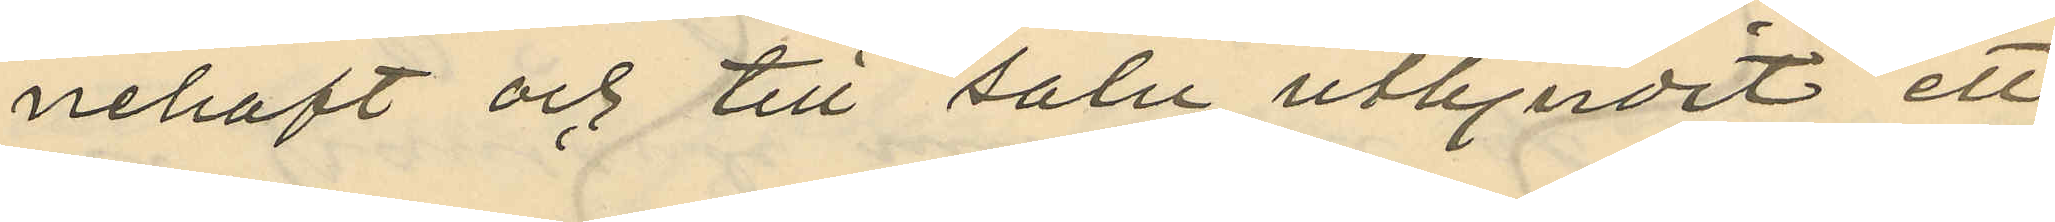nehaft och till salu utbjudit ett
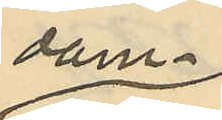dam¬
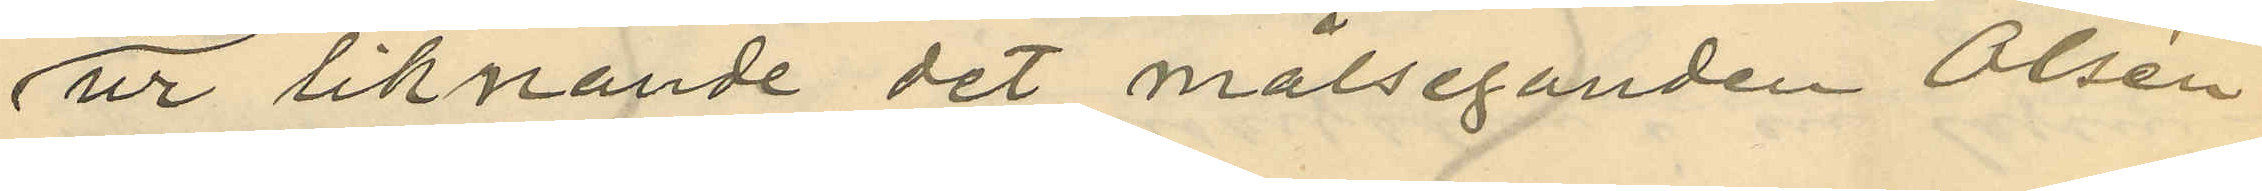ur liknande det målseganden Olsen
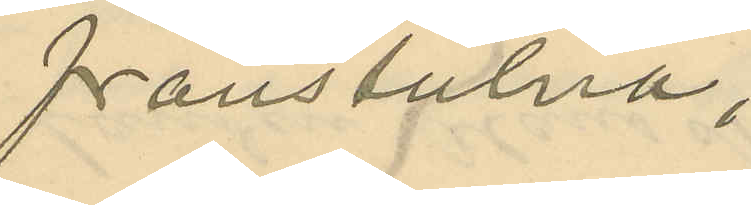frånstulna;
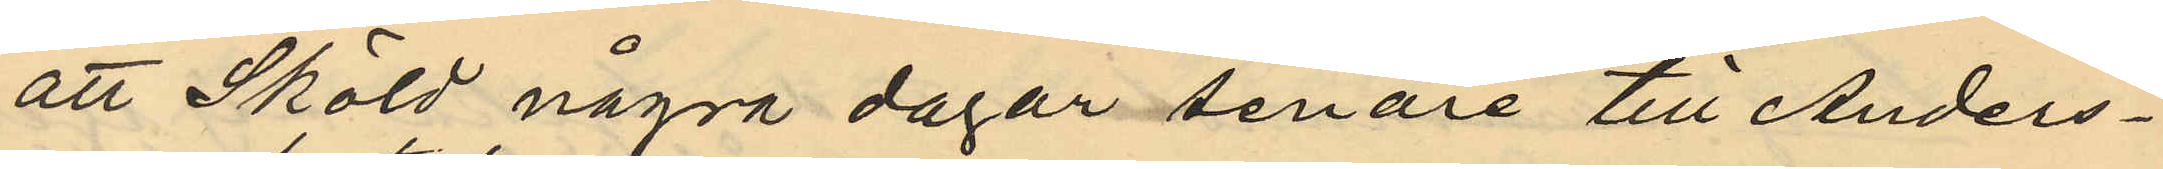att Sköld några dagar senare till Anders¬
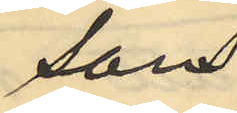sons
